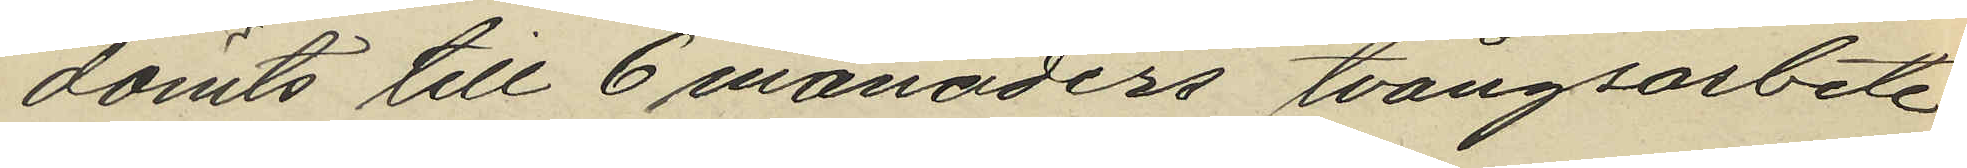dömts till 6 månaders tvångsarbete
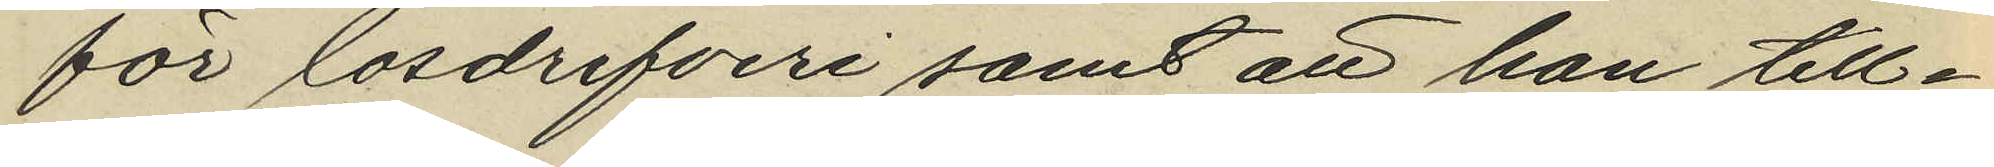för lösdrifveri samt att han till¬
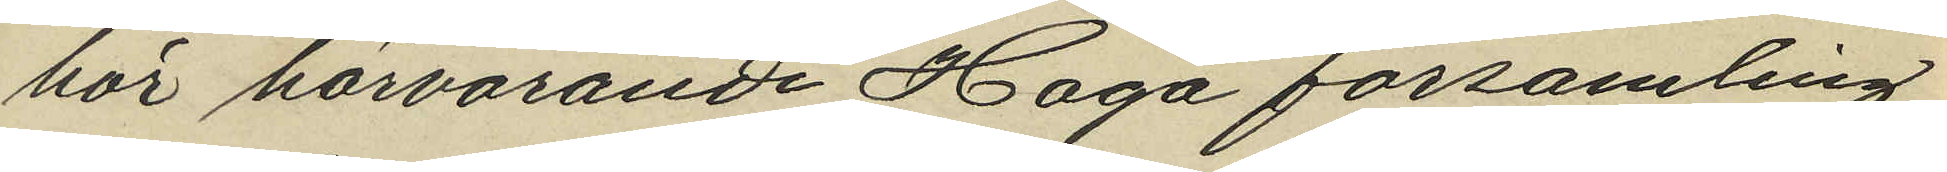hör härvarande Haga församling
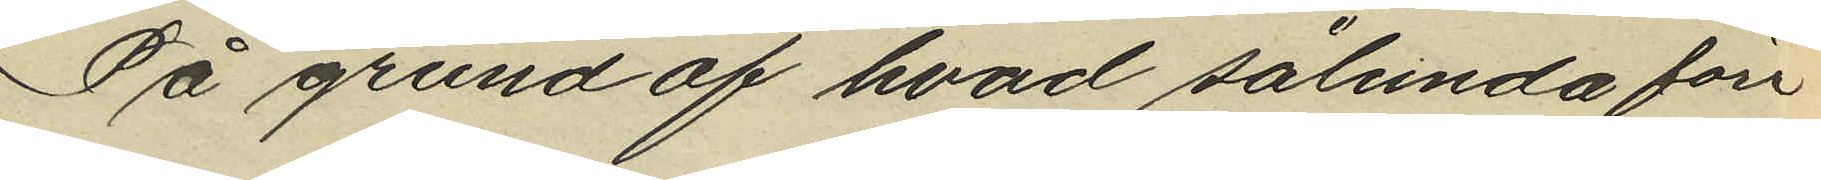På grund af hvad sålunda före¬
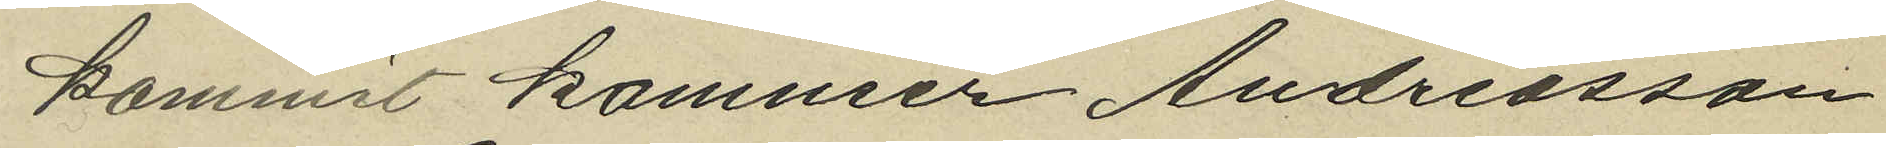kommit kommer Andreasson
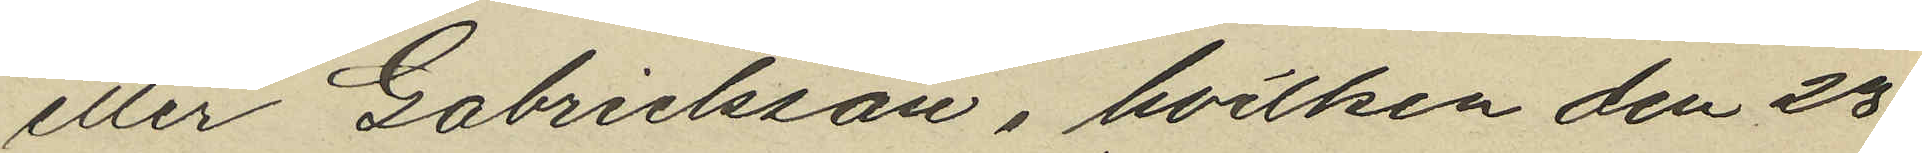eller Gabrielsson, hvilken den 23
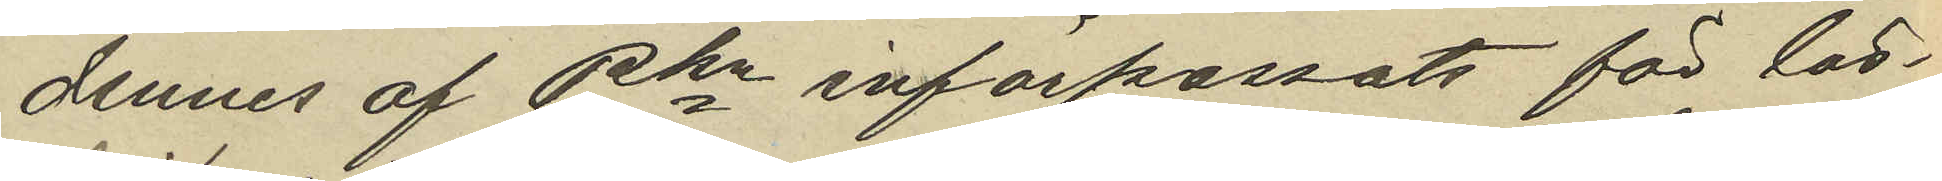dennes af Pkn införpassats för lös¬
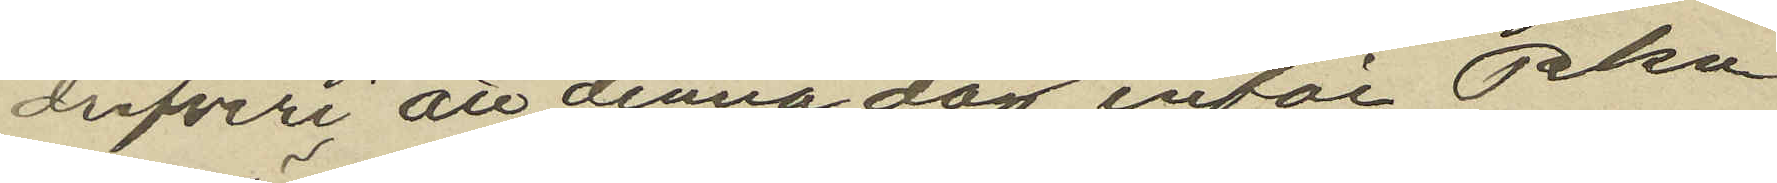drifveri att denna dag inför Pkn
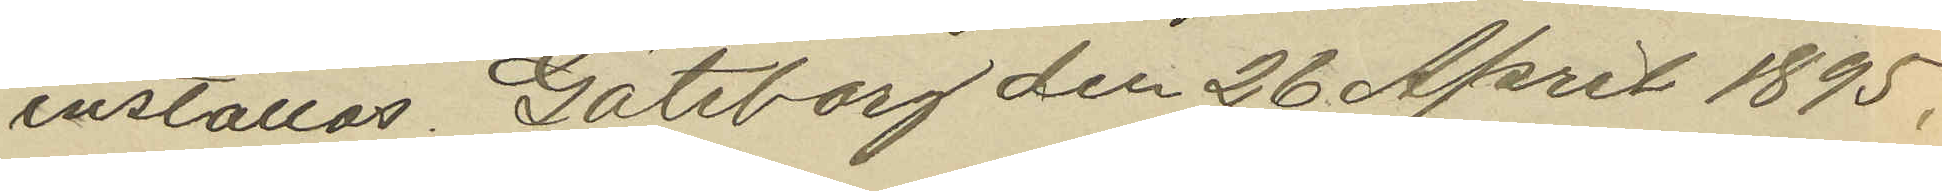inställas. Göteborg den 26 April 1895.
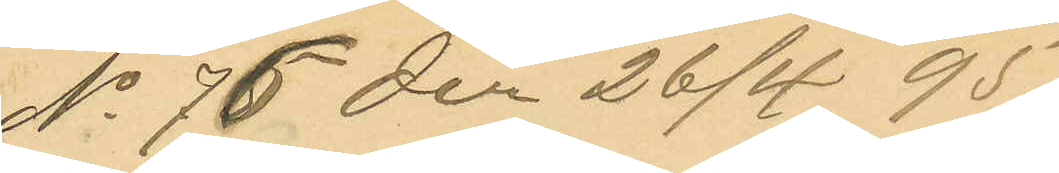No 76 den 26/4  95.
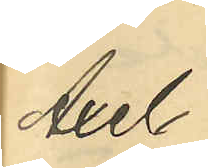Axel
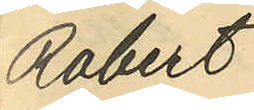Robert
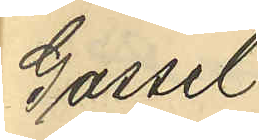Gassel¬
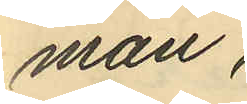man,
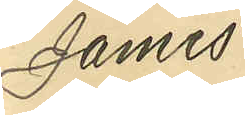James
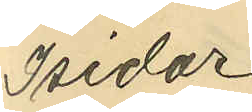Isidor
